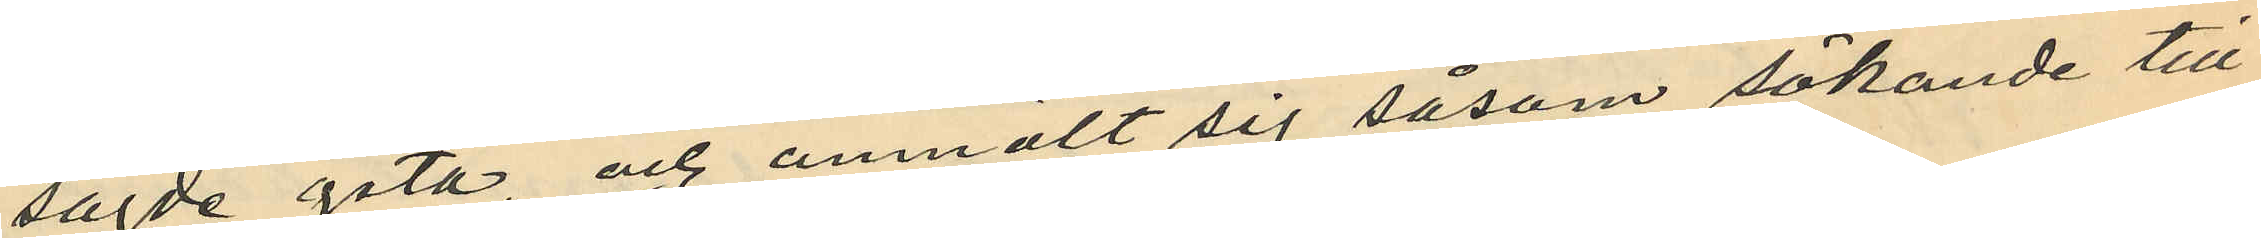sagde gata, och anmält sig såsom sökande till
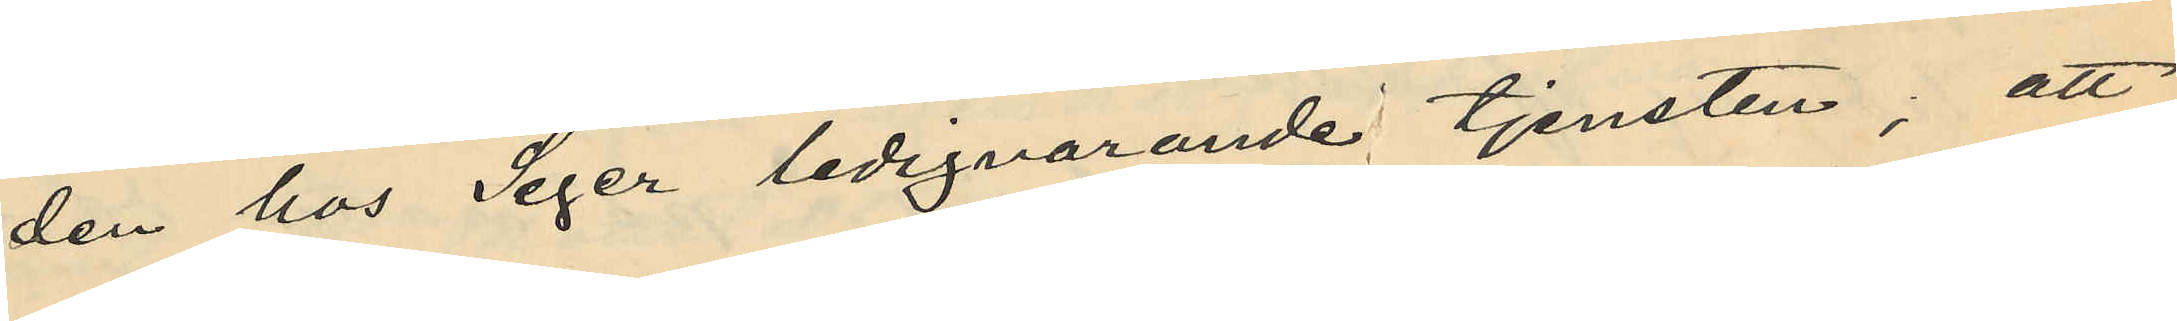den hos Seger ledigvarande tjensten; att
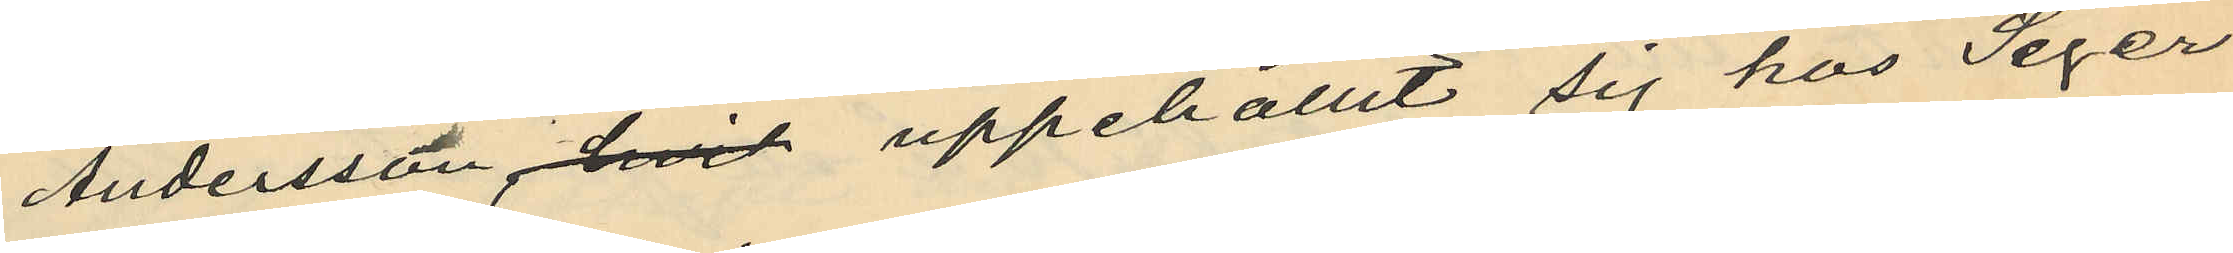Andersson, hvid uppehållit sig hos Seger
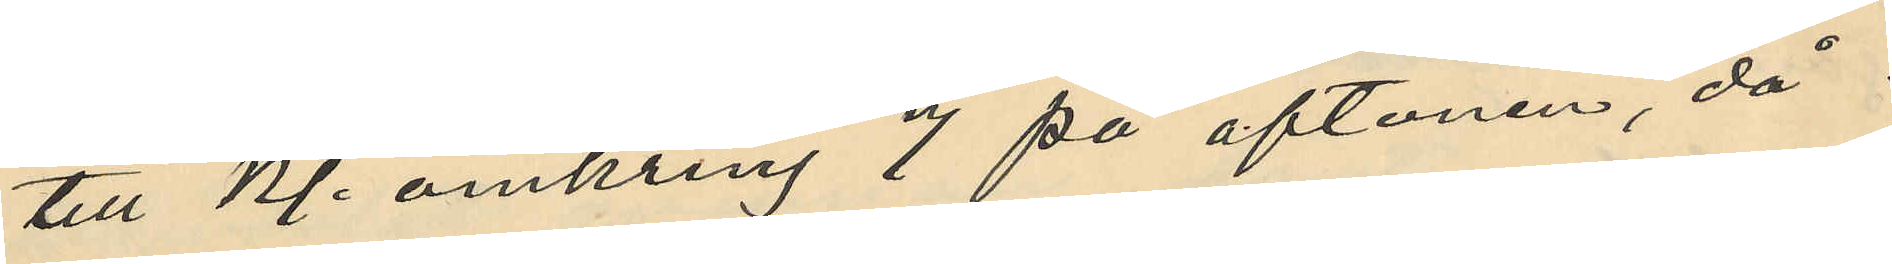till Kl. omkring 7 på aftonen, då
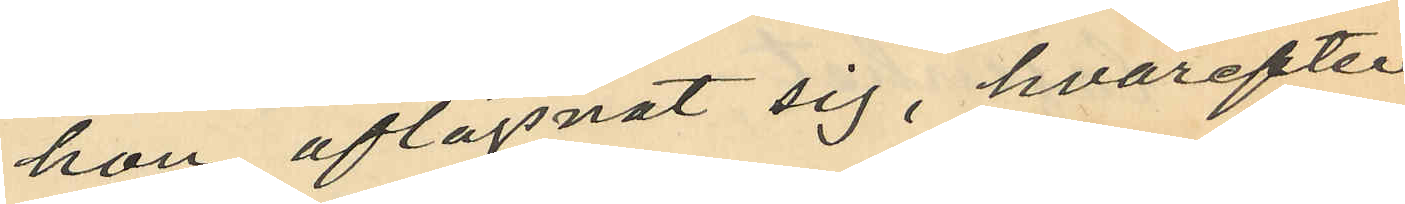hon aflägsnat sig, hvarefter
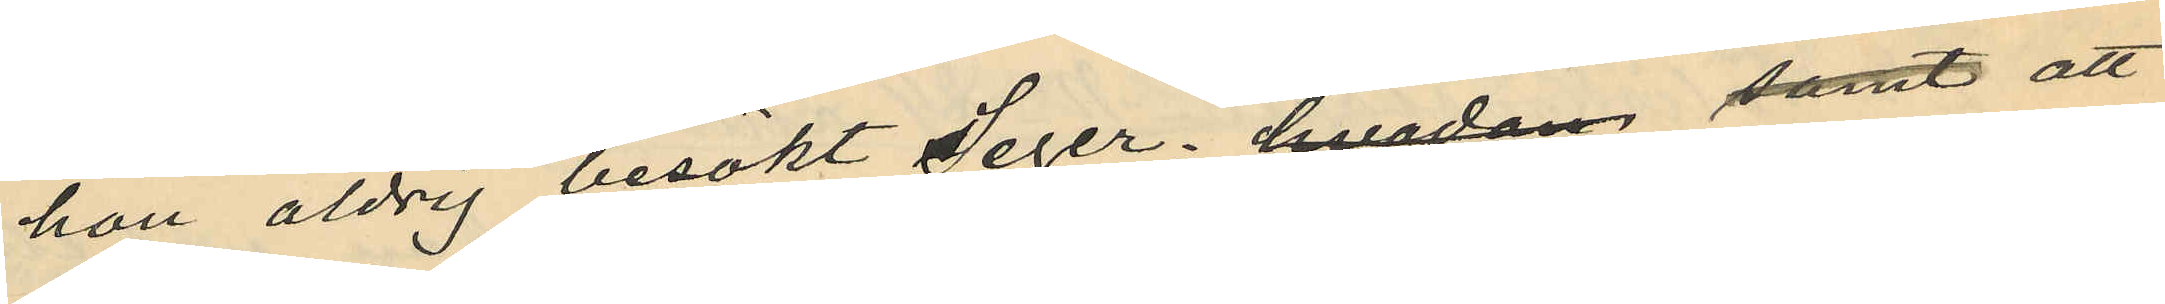hon aldrig besökt Seger, hvadan samt att
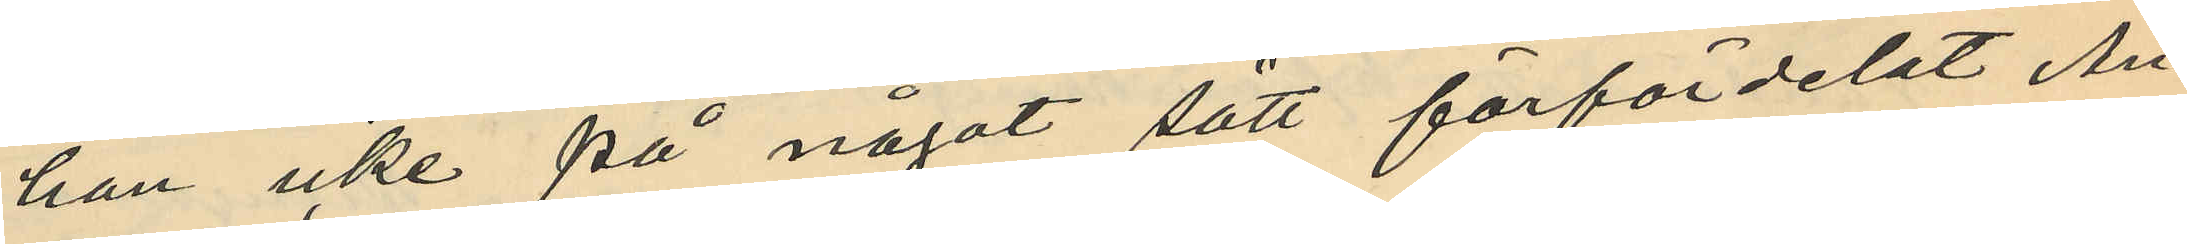han icke på något sätt förfördelat An¬
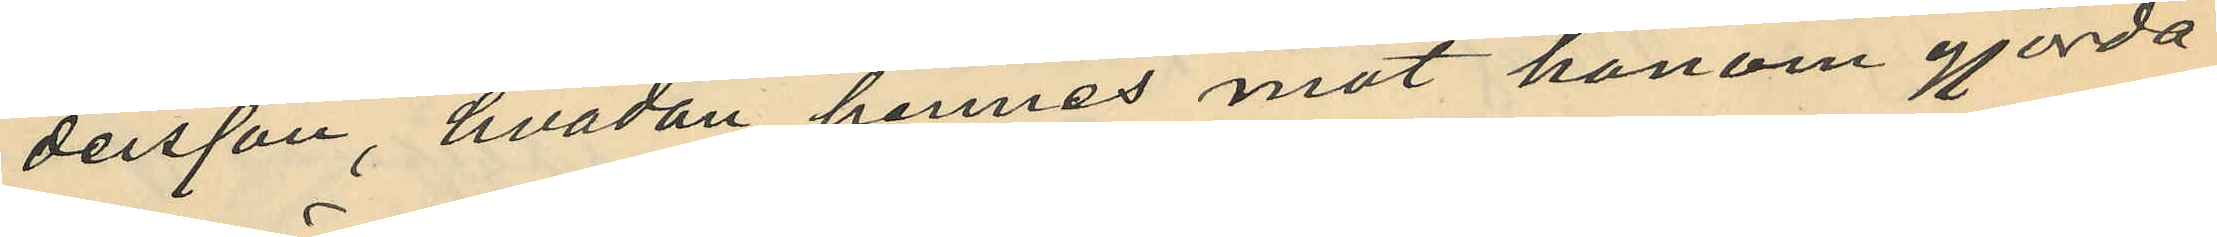dersson, hvadan hennes mot honom gjorda
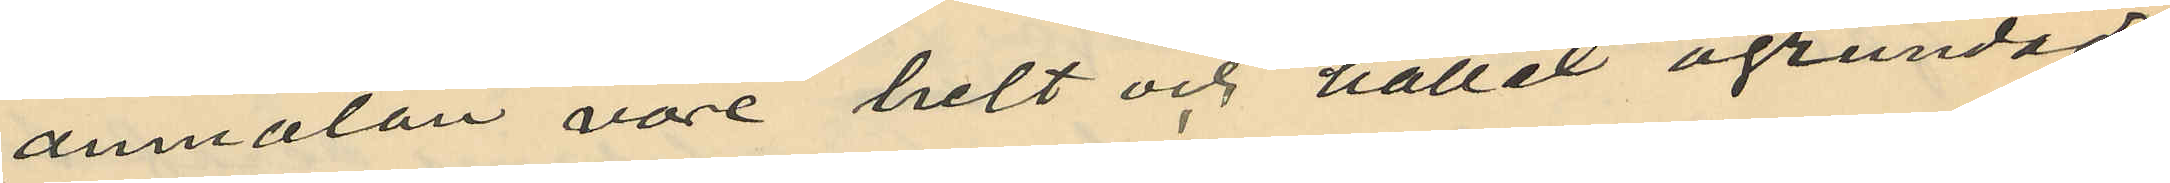anmälan vore helt och hållet ogrundad.
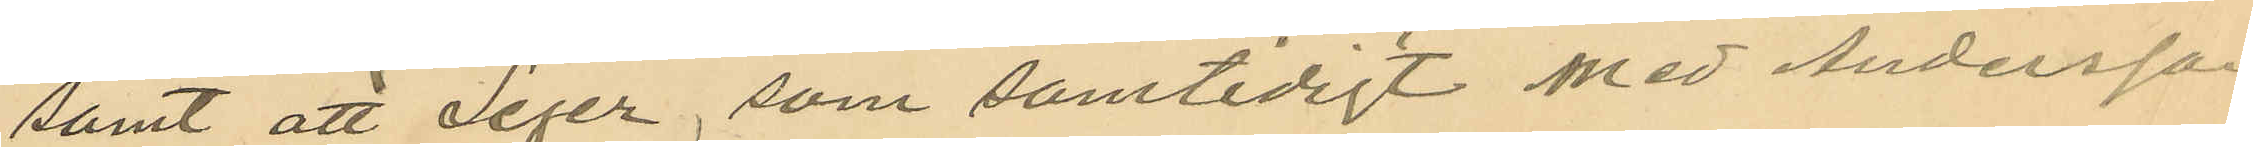samt att Seger, som samtidigt med Andersson
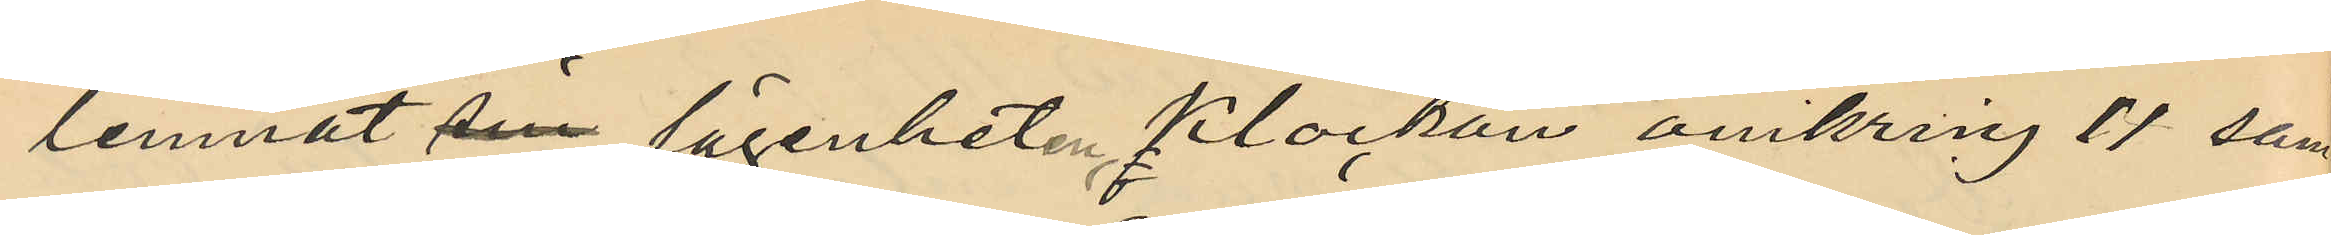lemnat sin lägenheten Klockan omkring 11 sam¬
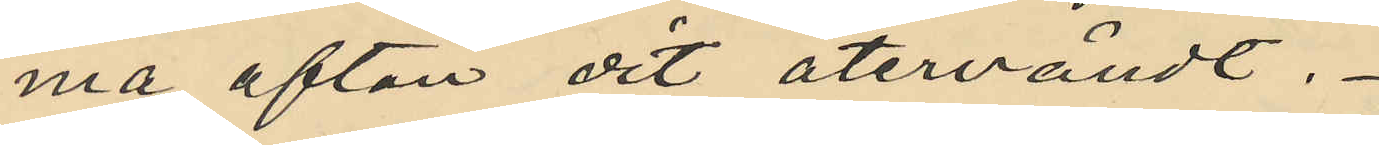ma afton dit återvändt.
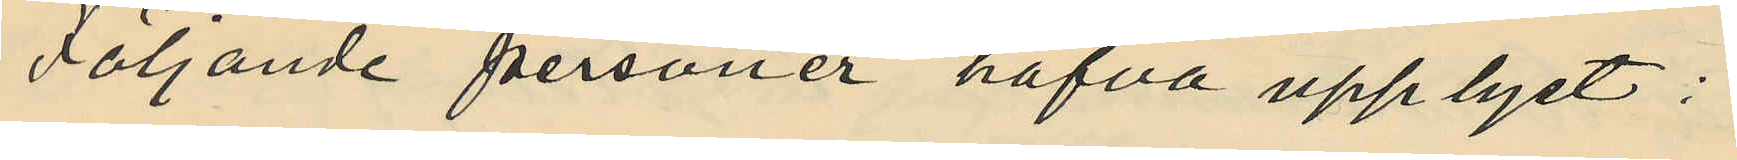Följande personer hafva upplyst:
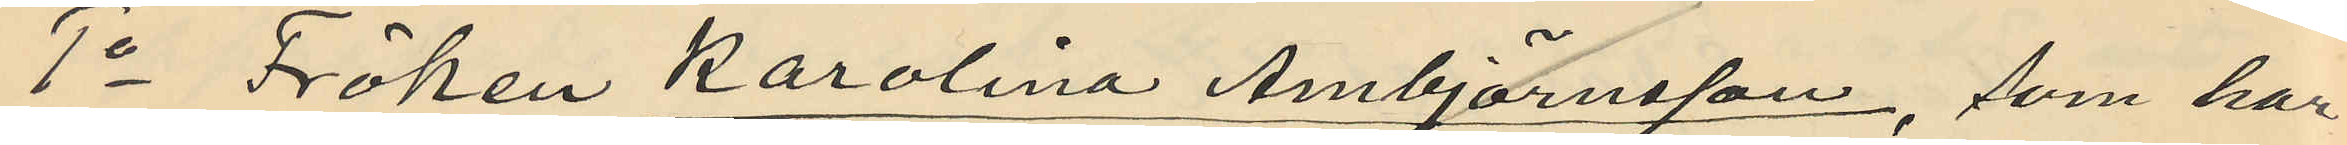1o Fröken Karolina Ambjörnsson, som har
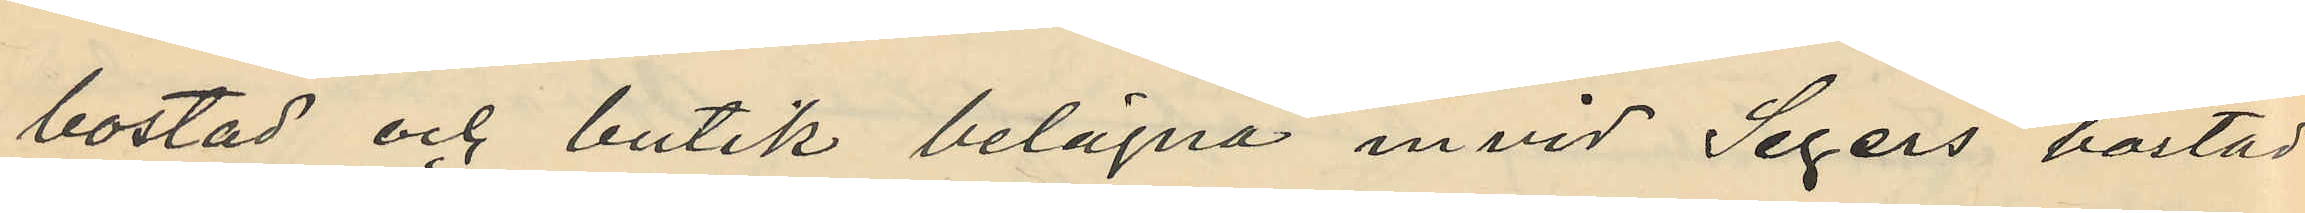bostad och butik belägna invid Segers bostad
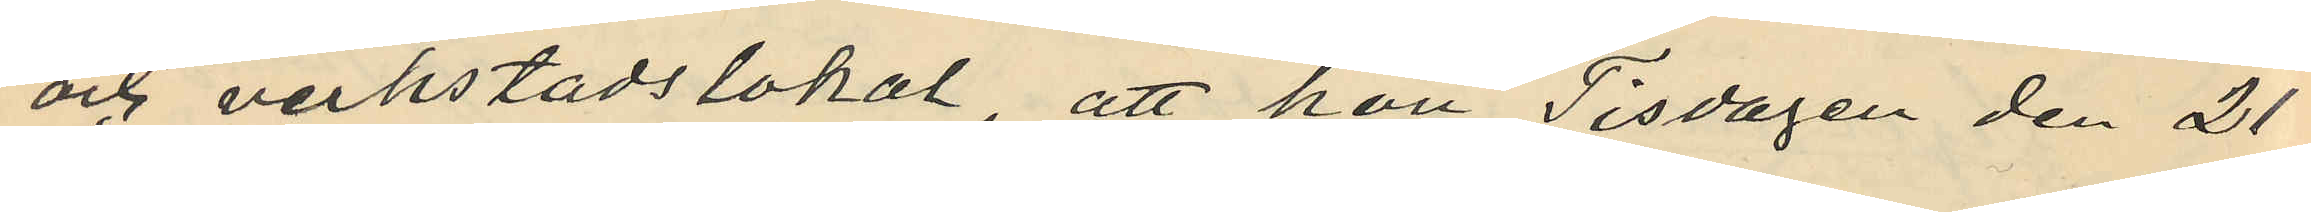och verkstadslokal, att hon Tisdagen den 21
